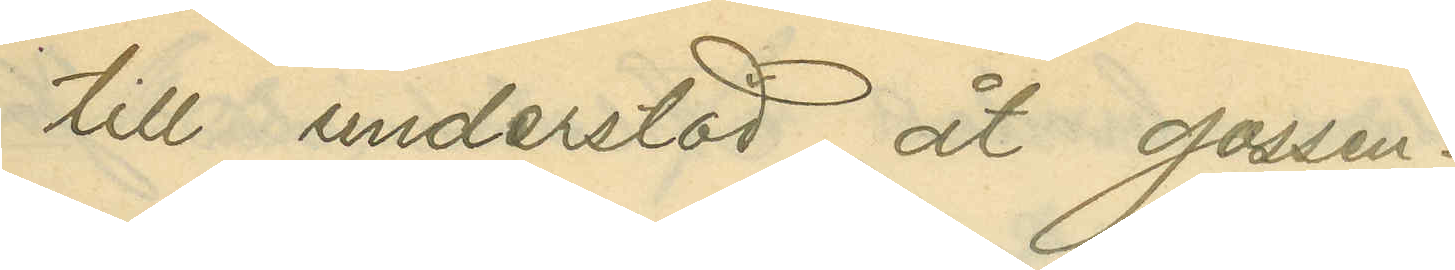till understöd åt gossen.
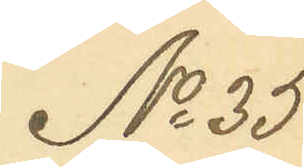No 35
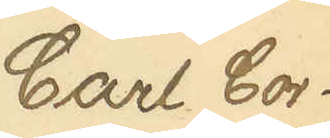Carl Cor¬
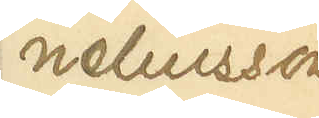neliusson
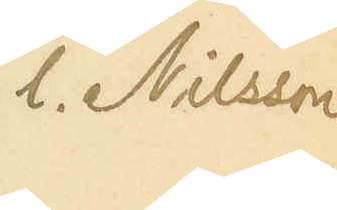 l. Nilsson
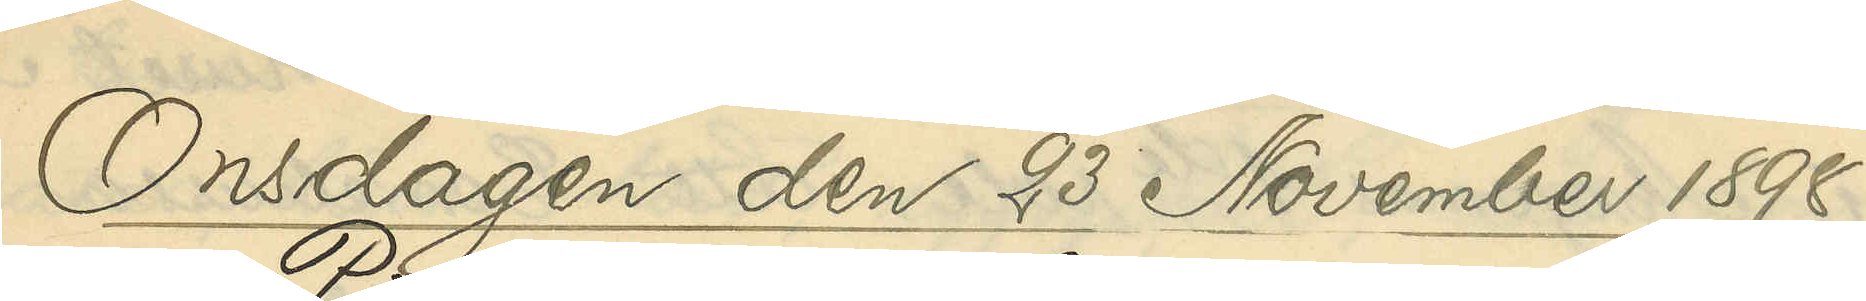Onsdagen 23 November 1898.
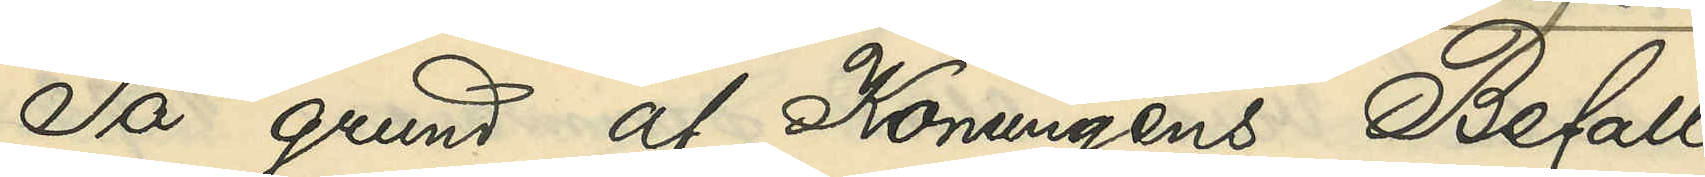På grund af Konungens Befall¬
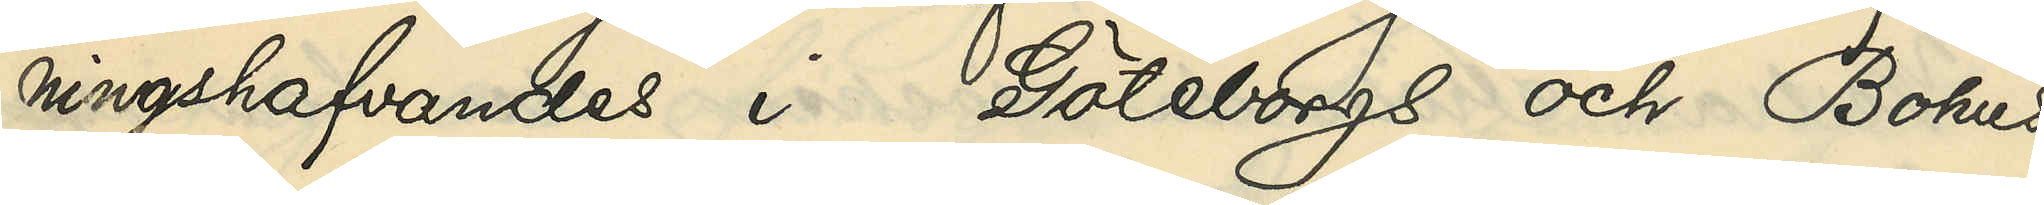ningshafvandes i Göteborgs och Bohus
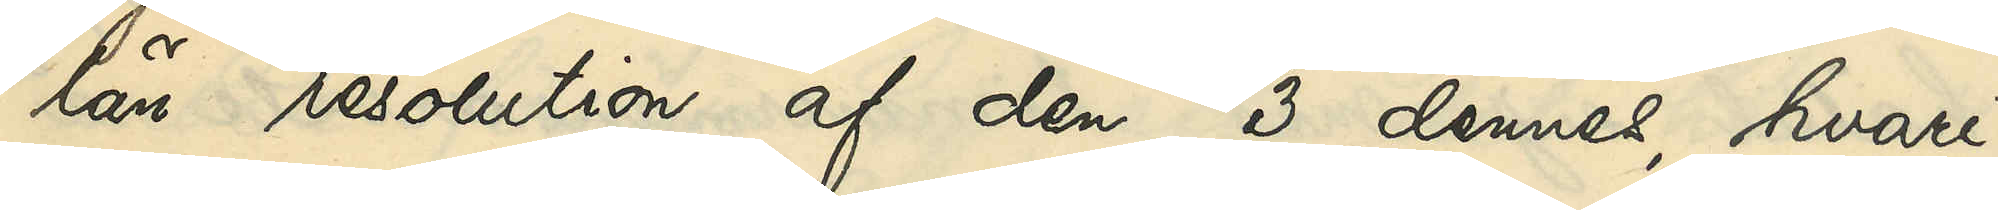län resolution af den 3 dennes, hvari¬
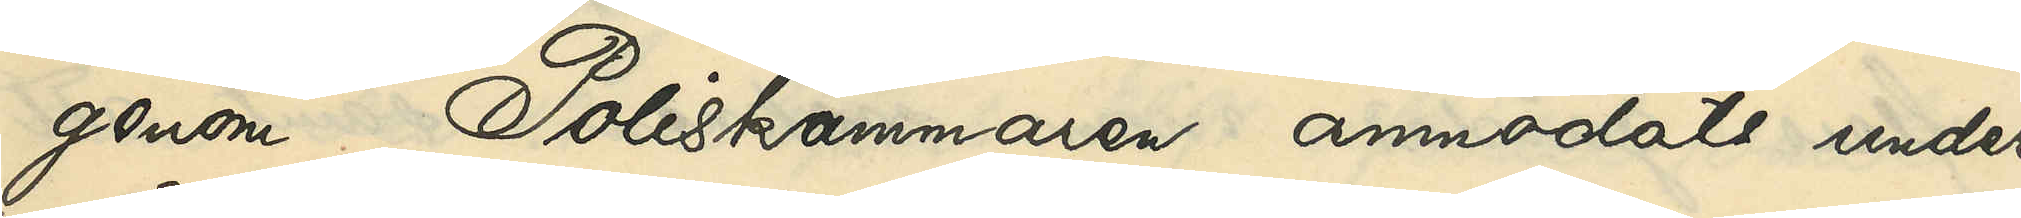genom Poliskammaren anmodats under¬
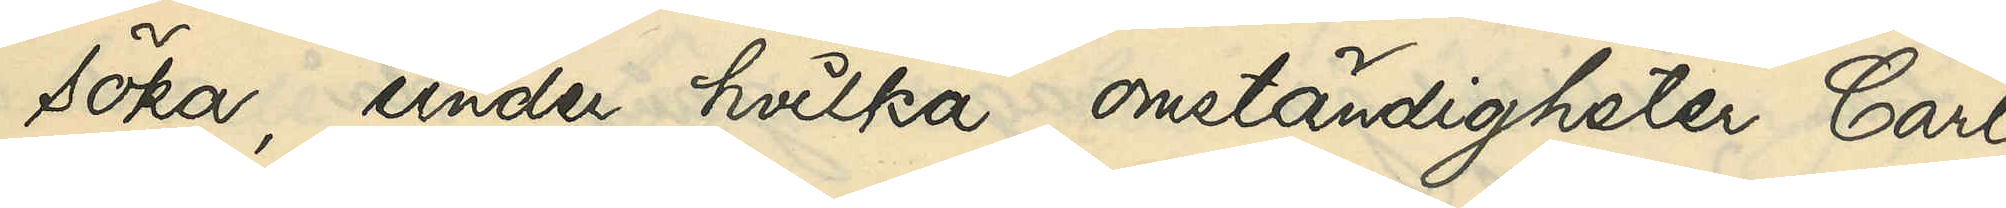söka, under hvilka omständigheter Carl
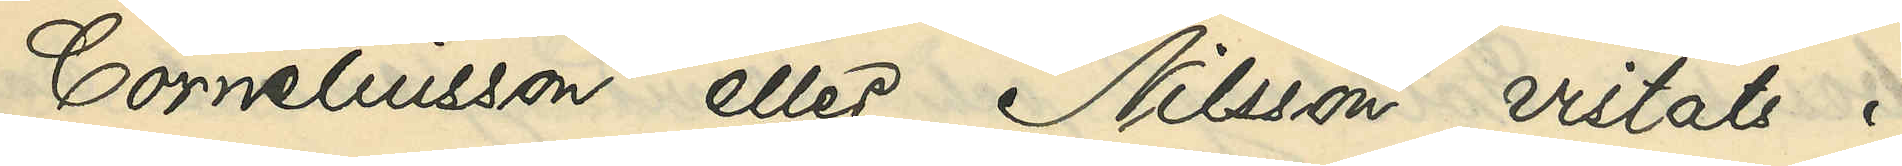Corneliusson eller Nilsson vistats i
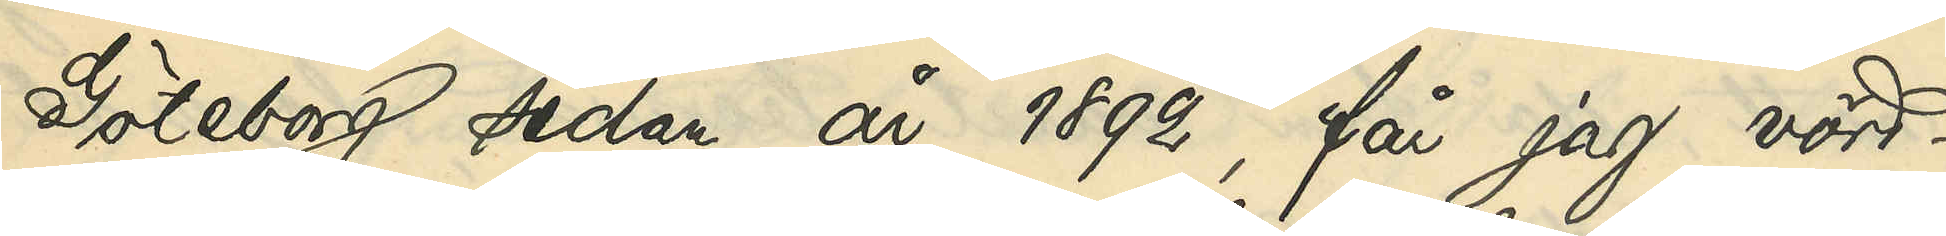Göteborg sedan år 1892, får jag vörd¬
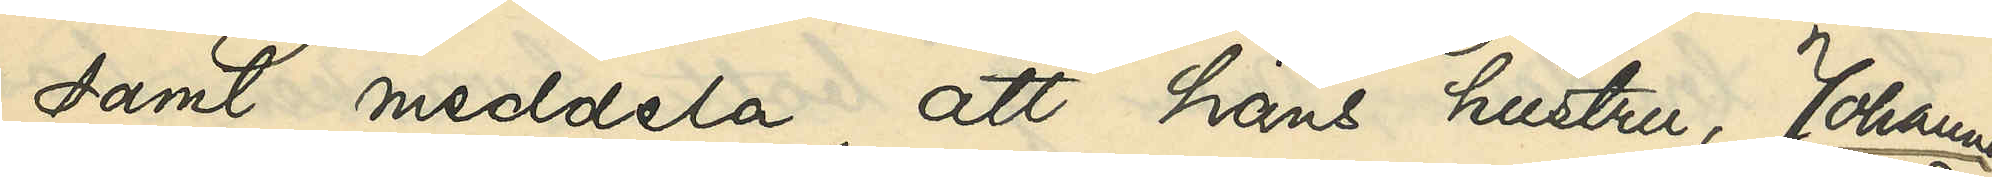samt meddela, att hans hustru, Johanna
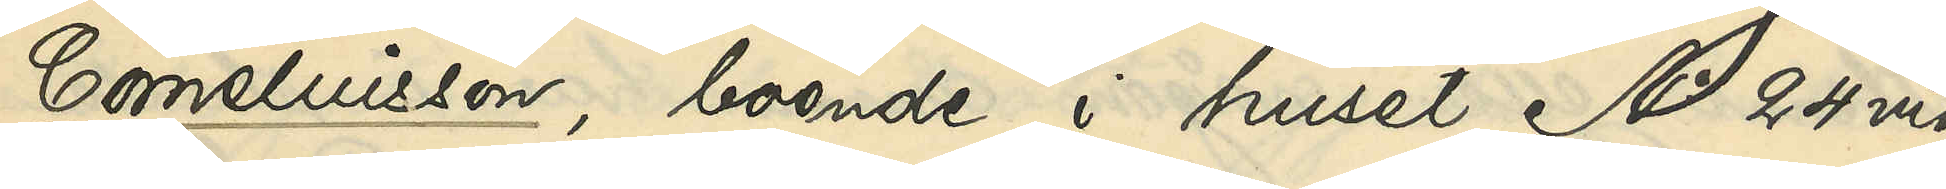Corneliusson, boende i huset No 24 vid
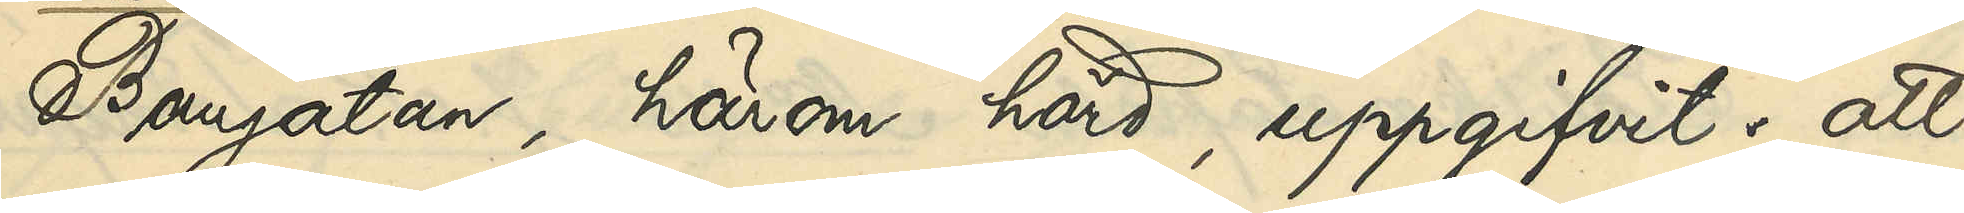Bangatan, härom hörd, uppgifvit: att
